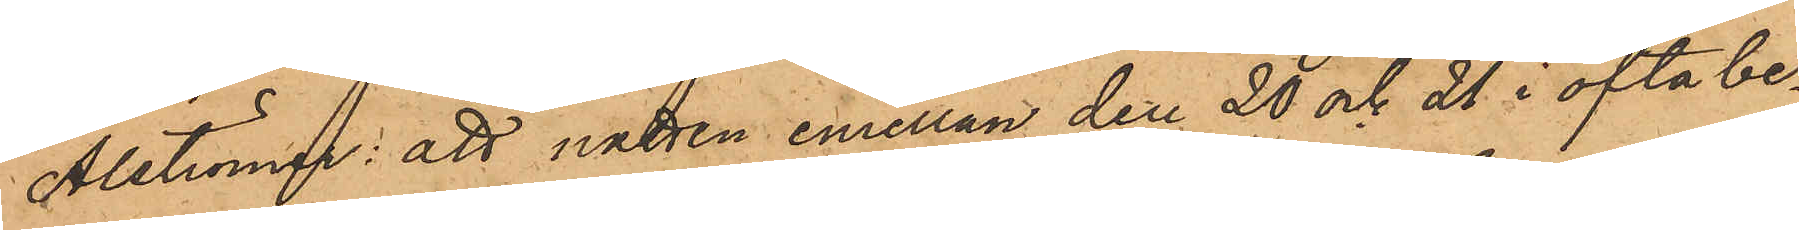Alströmer: att natten emellan den 20 och 21 i ofta be¬
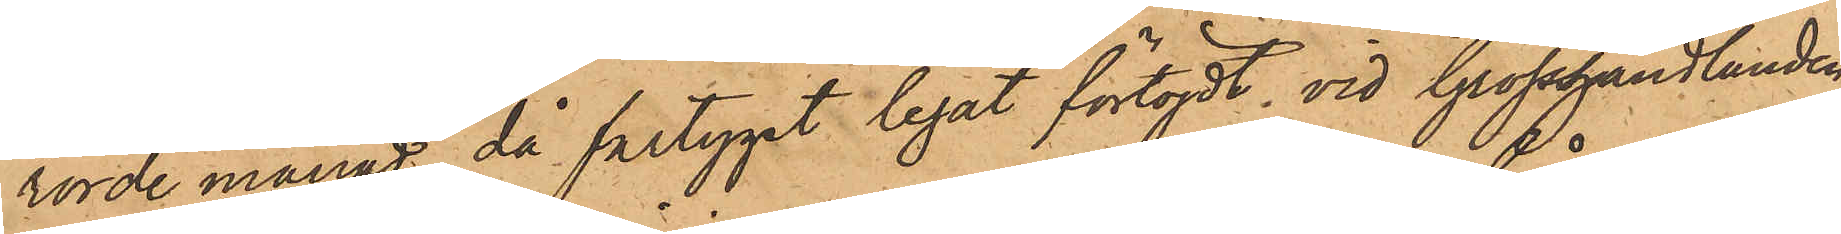rörde månad, då fartyget legat förtöjdt vid Grosshandlanden
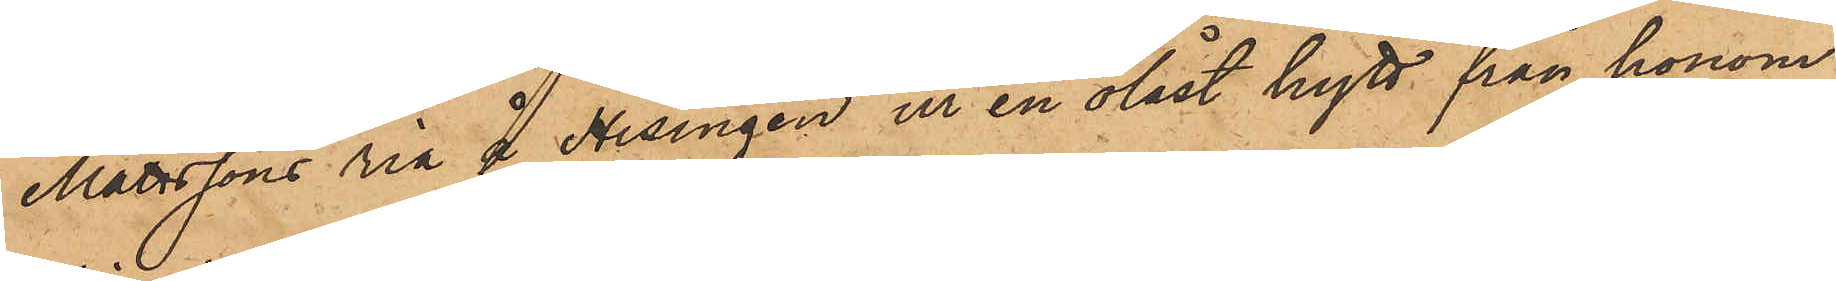Mattssons ria å Hisingen ur en olåst hytt från honom
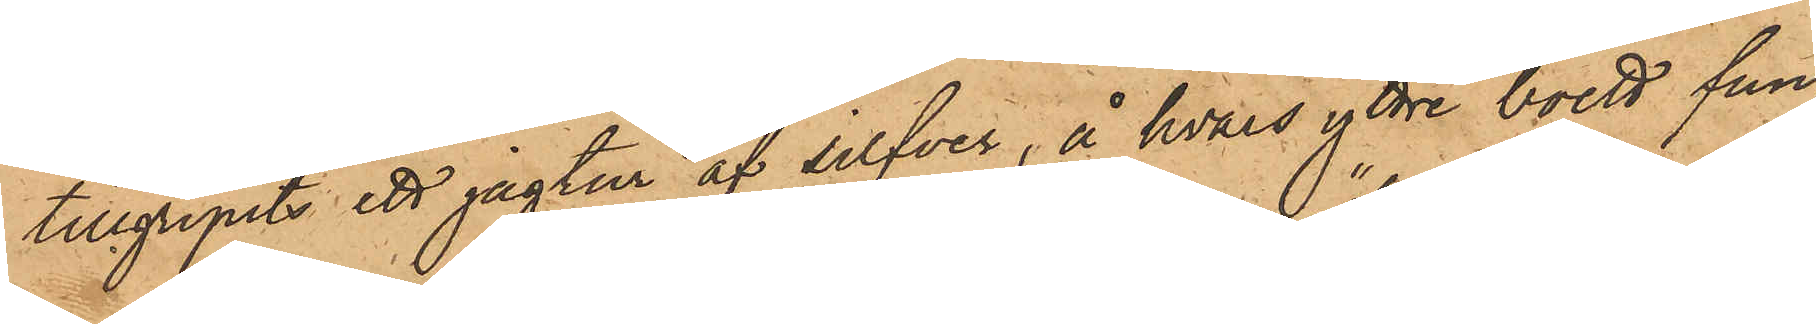tillgripits ett jagtur af silfver, å hvars yttre boett fun¬
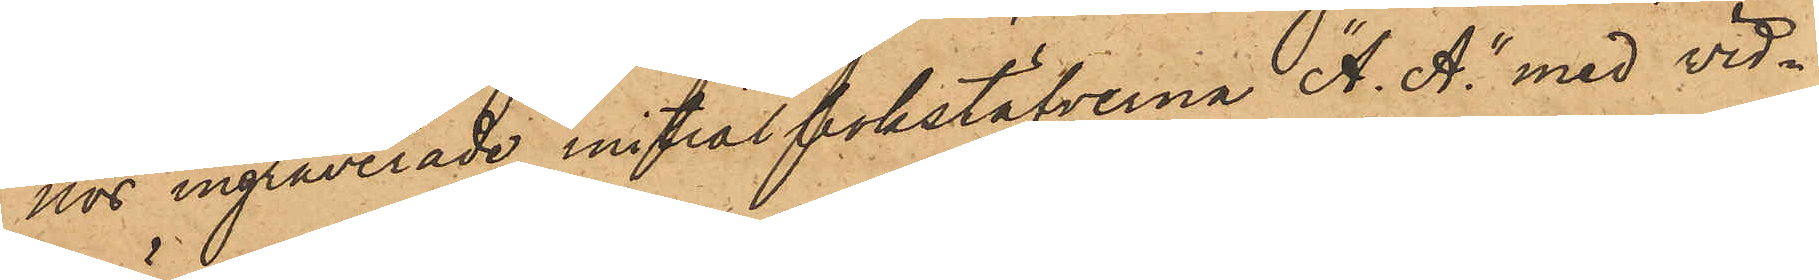nor ingraverade initialbokstäfverna "A. A." med vid¬
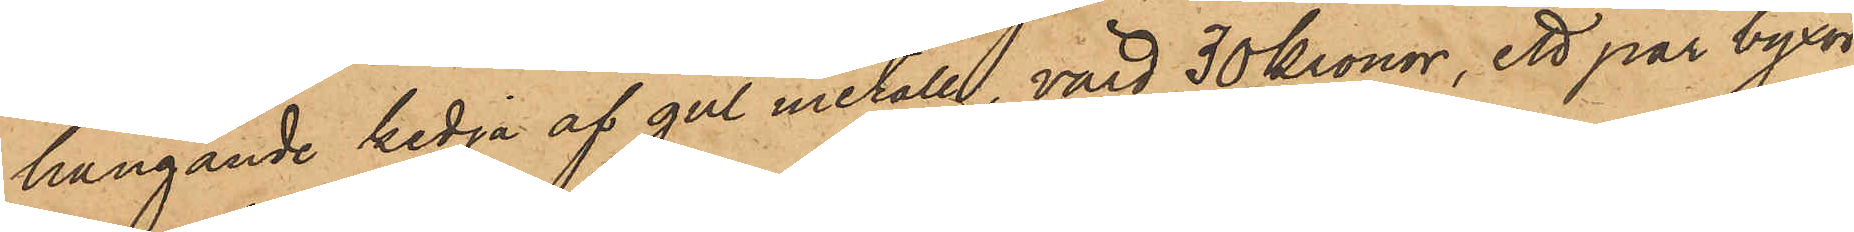hängande kedja af gul metall, värd 30 Kronor, ett par byxor
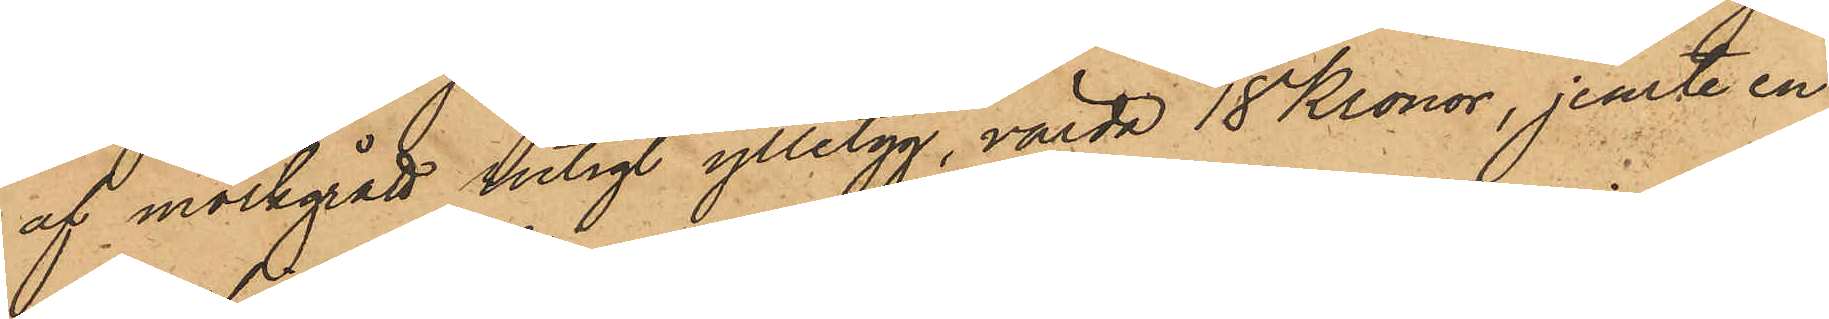af mörkgrått rutigt ylletyg, värda 18 Kronor, jemte en
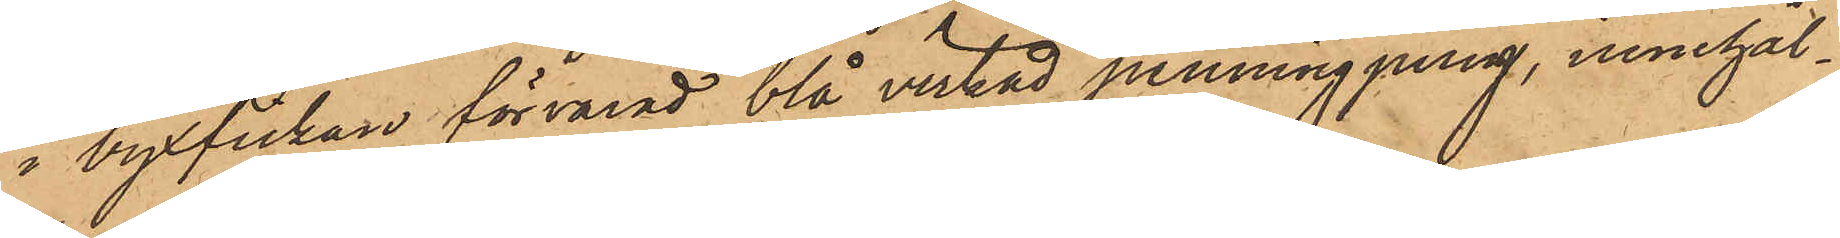i byxfickan förvarad blå virkad penningpung, innehål¬
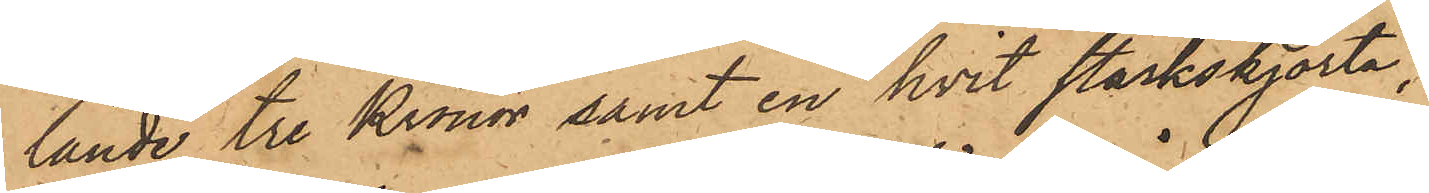lande tre Kronor samt en hvit stärkskjorta;
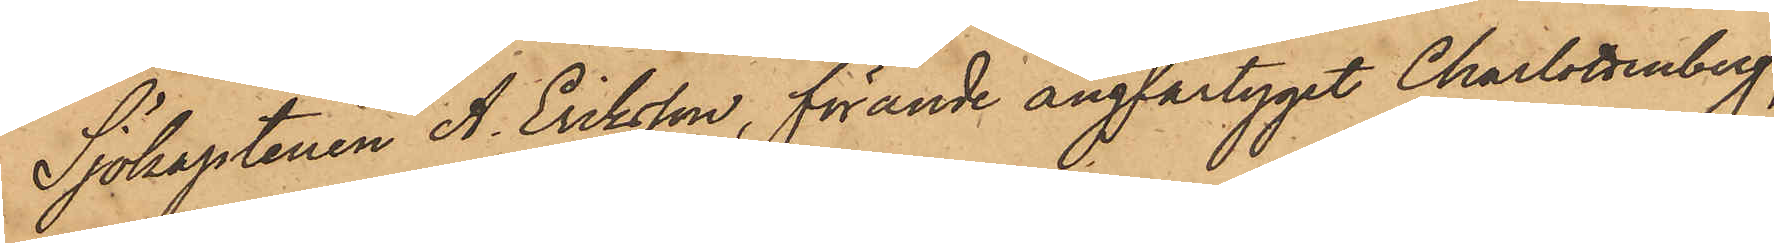Sjökaptenen A. Eriksson, förande ångfartyget Charlottenberg,
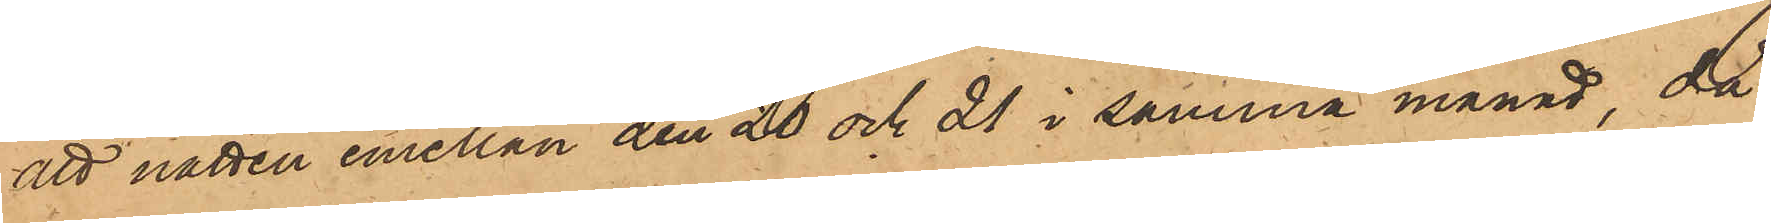att natten emellan den 20 och 21 i samma månad, då
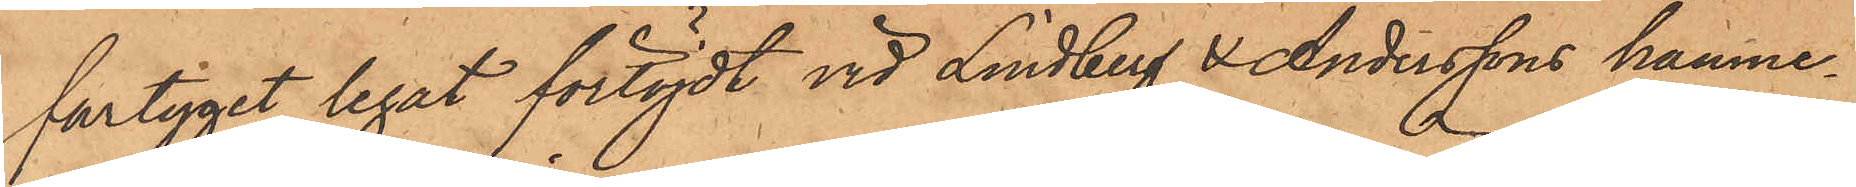fartyget legat förtöjdt vid Lindberg & Anderssons hamne¬
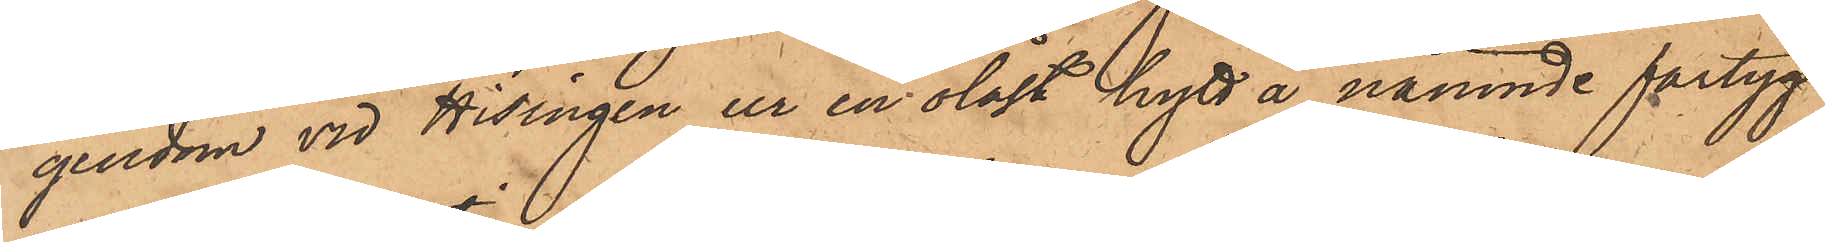gendom vid Hisingen ur en olåst hytt å nämnde fartyg
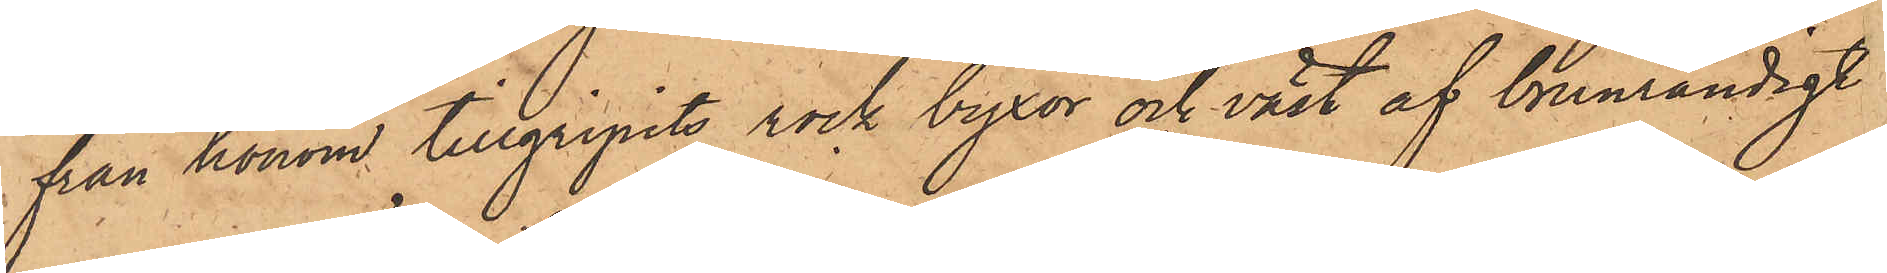från honom tillgripits rock byxor och väst af brunrandigt
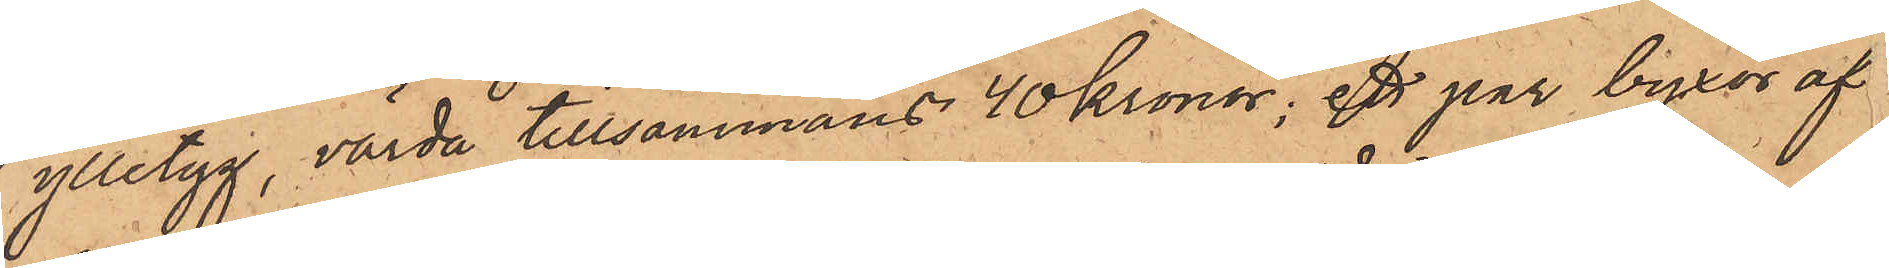ylletyg, värda tillsammans 40 Kronor; ett par byxor af
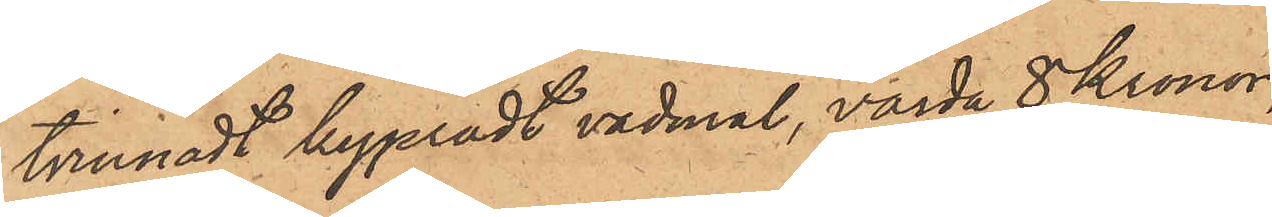tvinnadt kypradt vadmal, värda 8 Kronor
